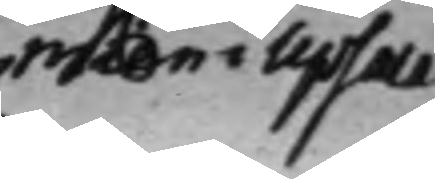mien i Upsala
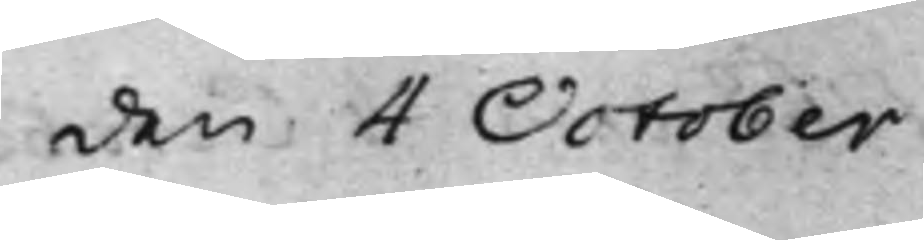den 4 October
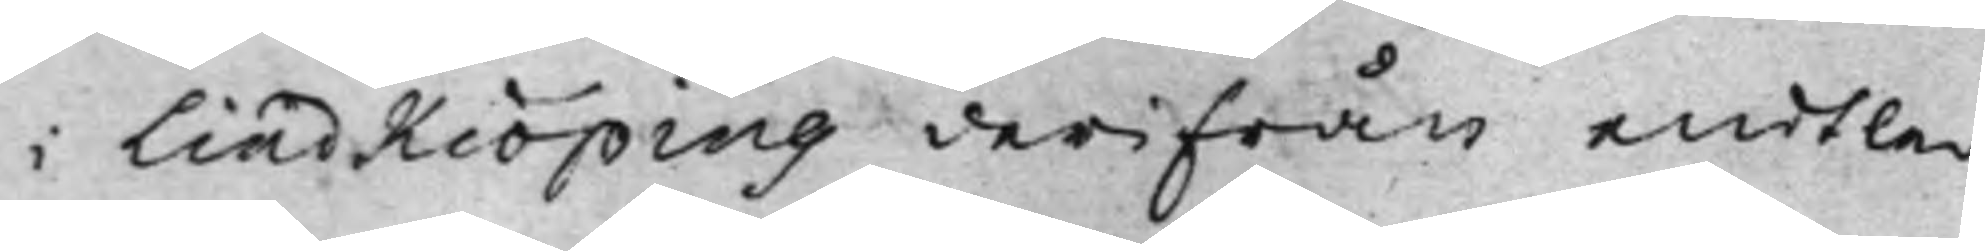i Lindkiöping derifrån endtle¬
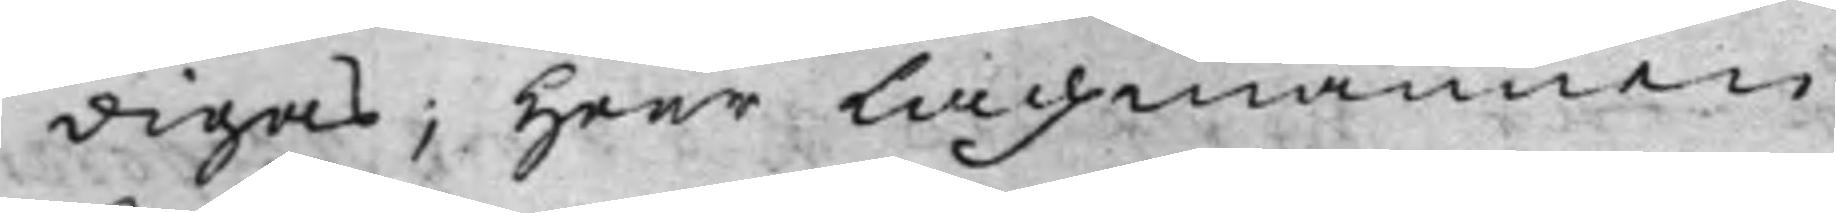digas; Herr Lagmannen
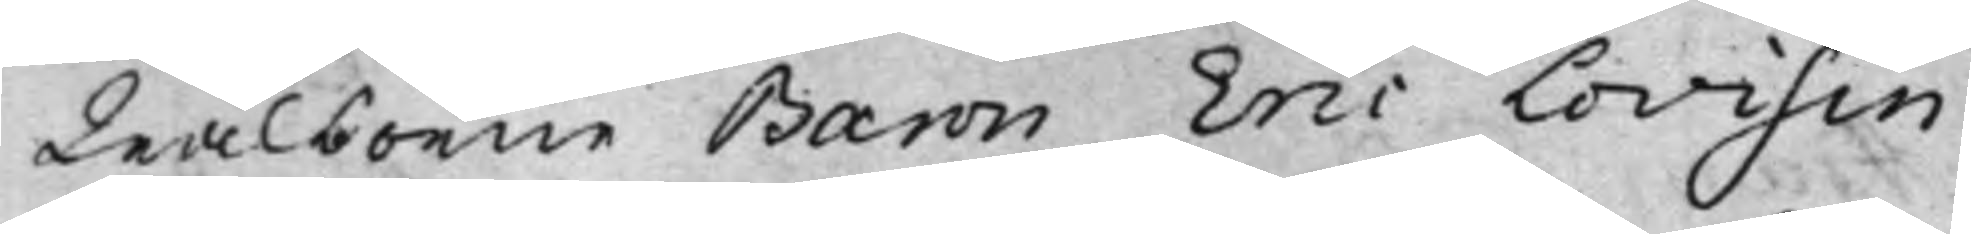Wälborne Baron Eric Lovisin
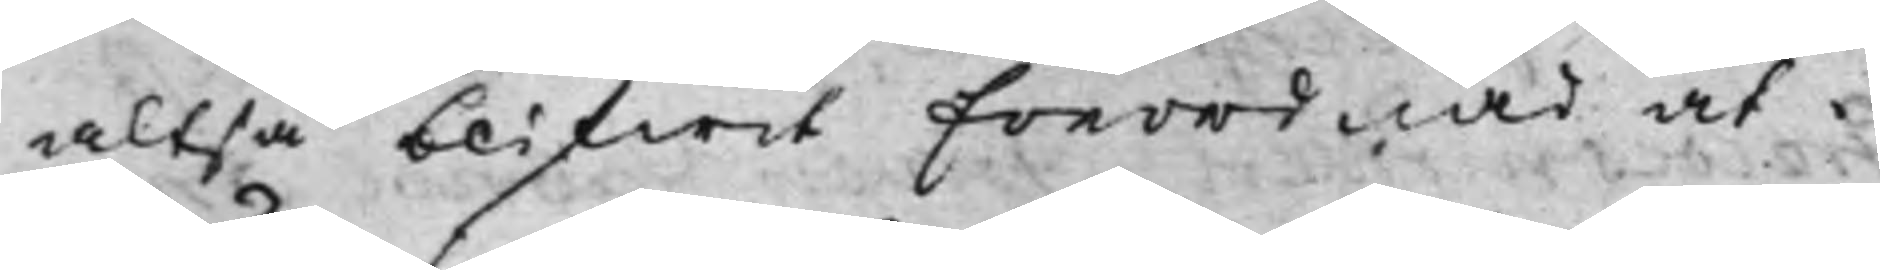altså blifwit Förordnad at i
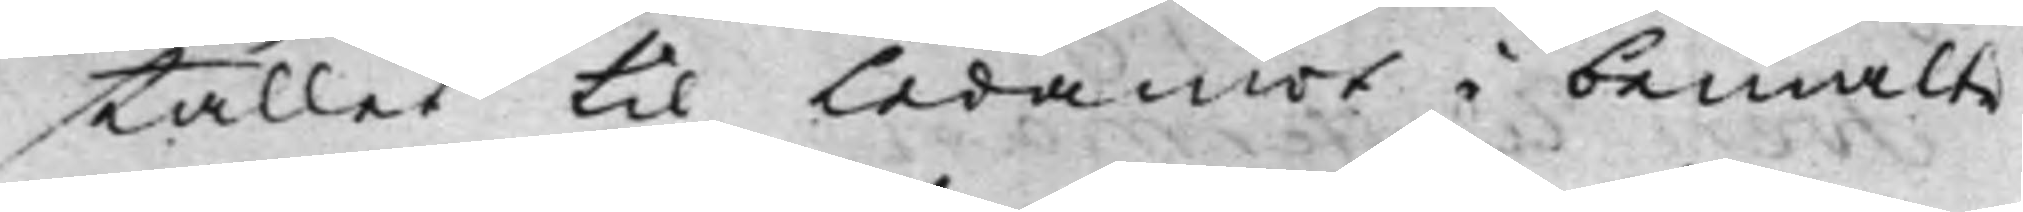stället til Ledamot i bemälte
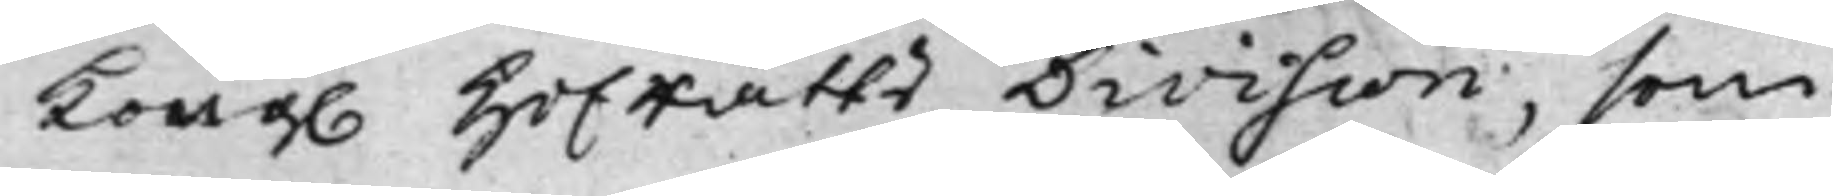Kong. Hofrätts Division, som 
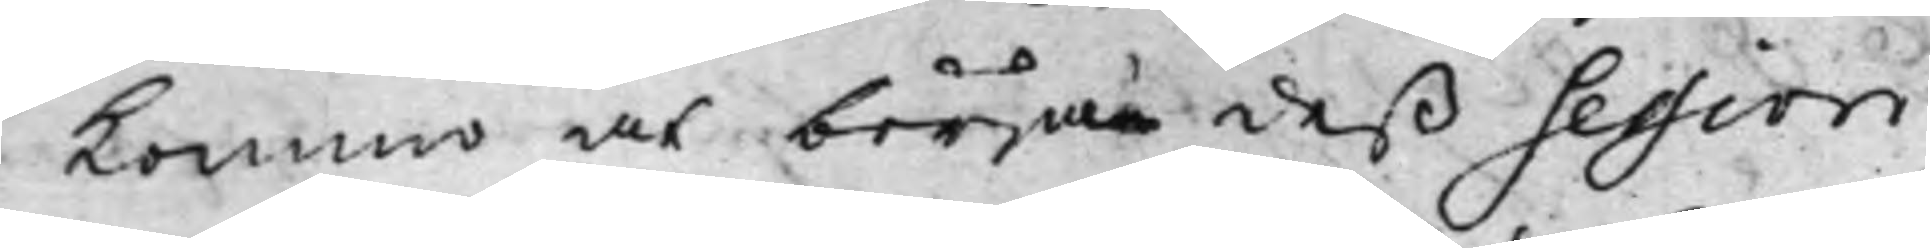Kommo at börja deß Session
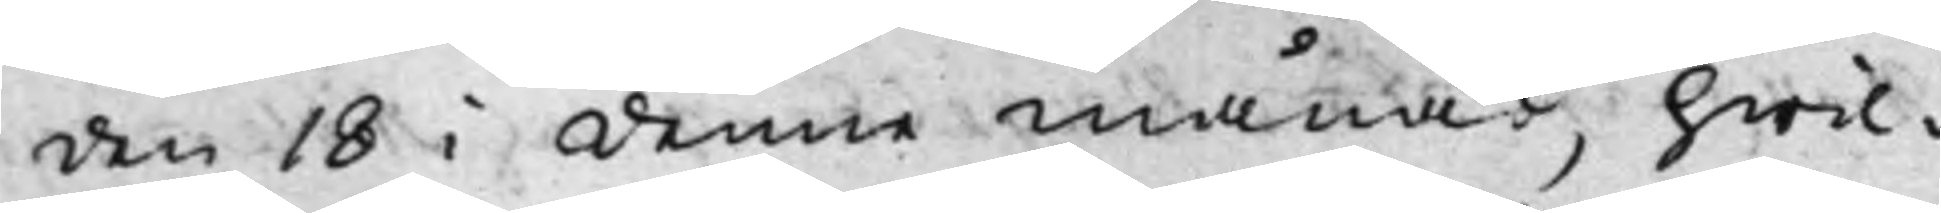den 18 i denne månad, hwil¬
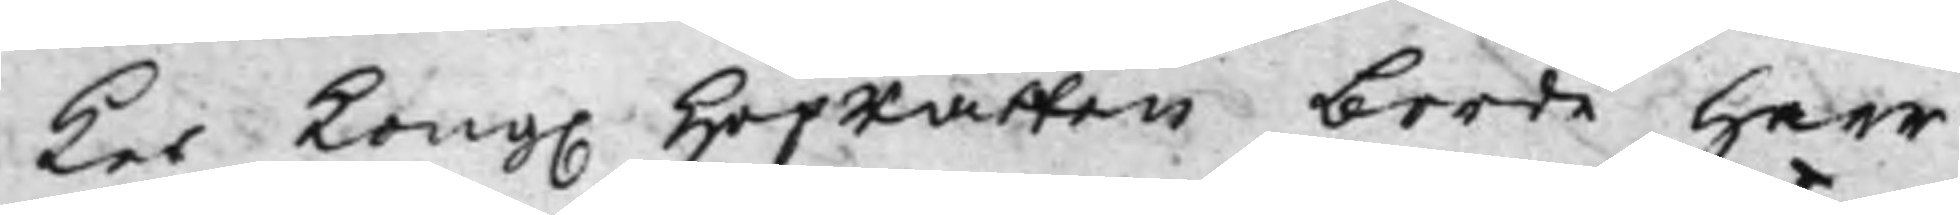ket Kong. HofRätten borde Herr 
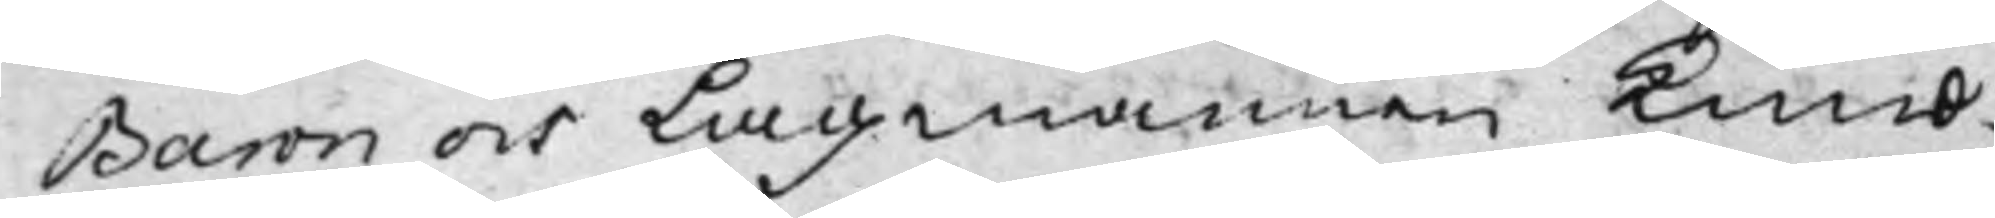Baron och Lagmannen Kund¬
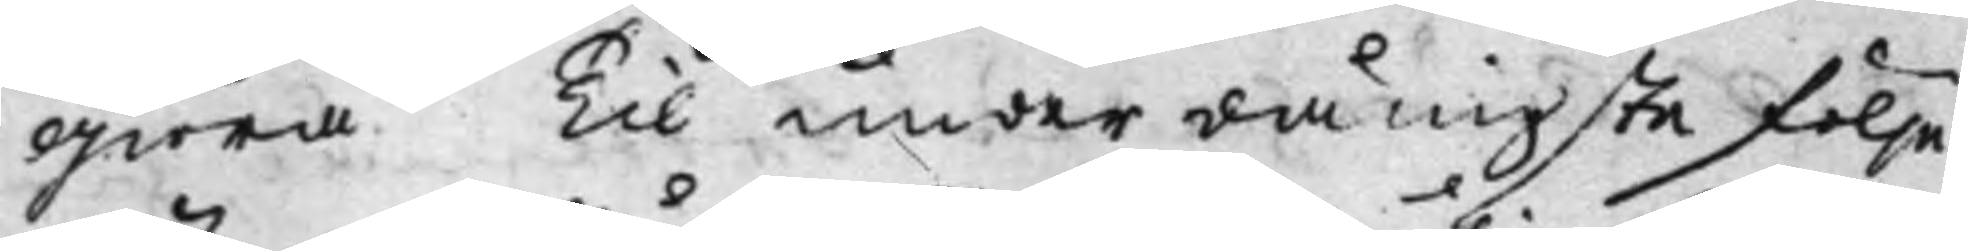giöra. Til underdånigste följe
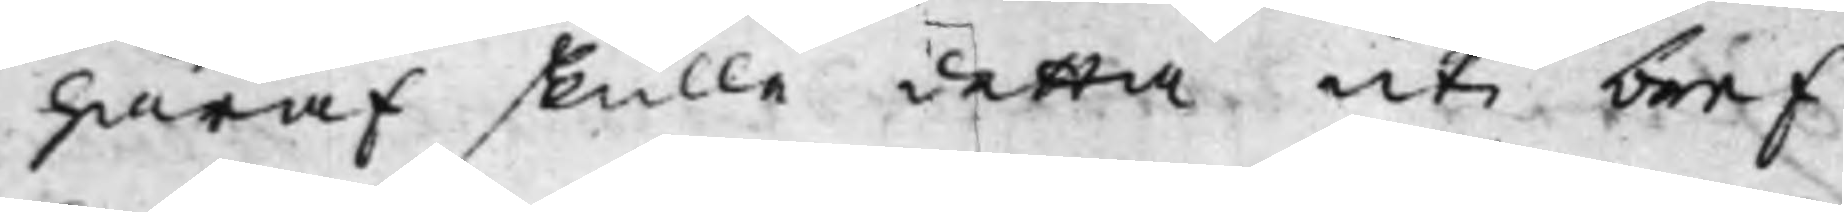häraf skulle detta uti bref
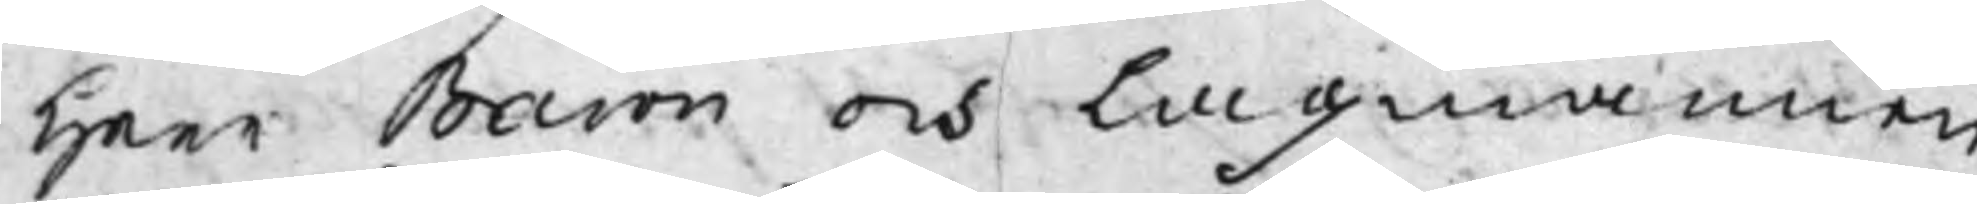Herr Baron och Lagmannen
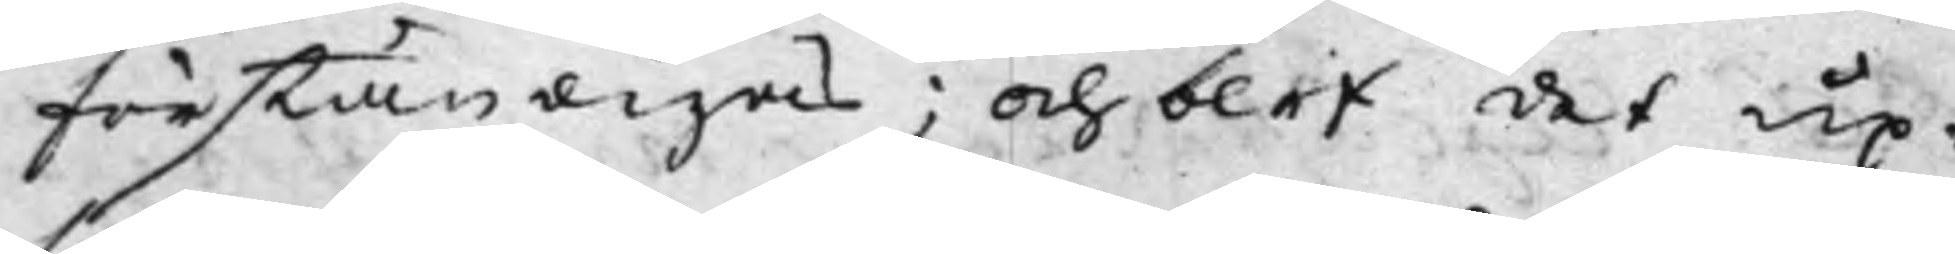förständigas; och blef det up¬
